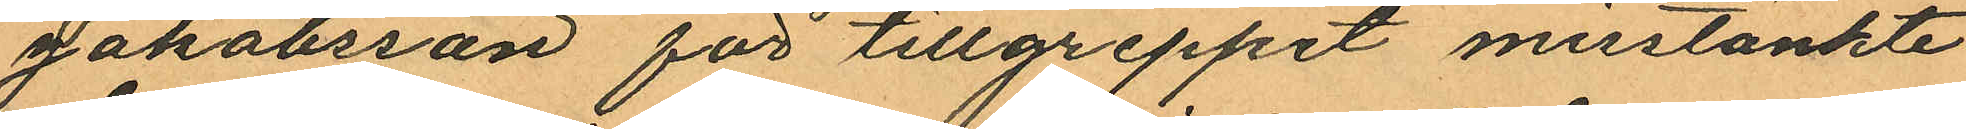Jakobsson för tillgreppet misstänkte
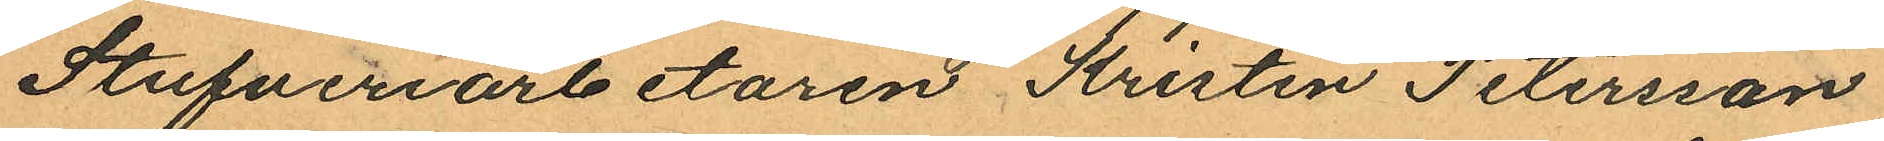Stufveriarbetaren Kristen Petersson
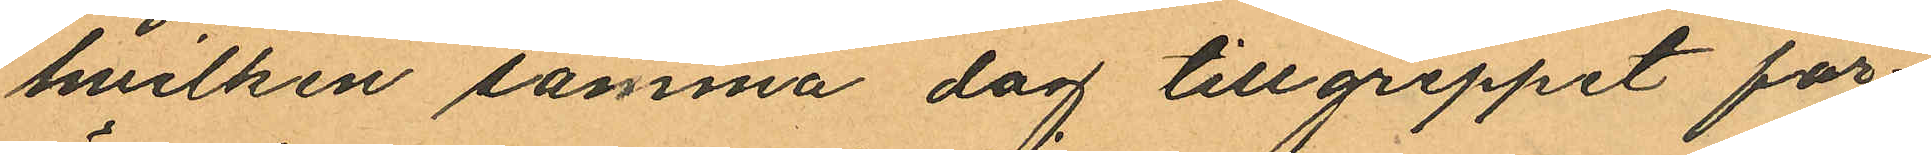hvilken samma dag tillgreppet för
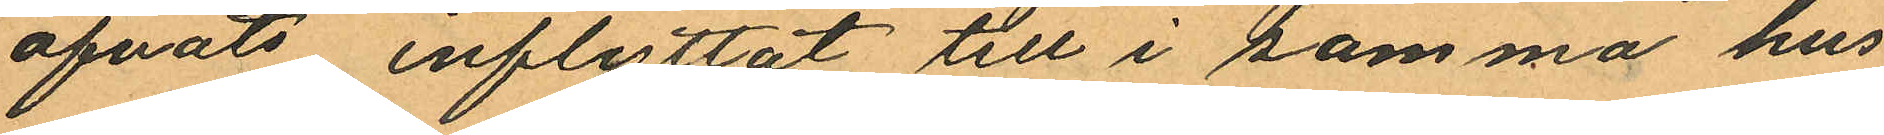öfvats inflyttat till i samma hus
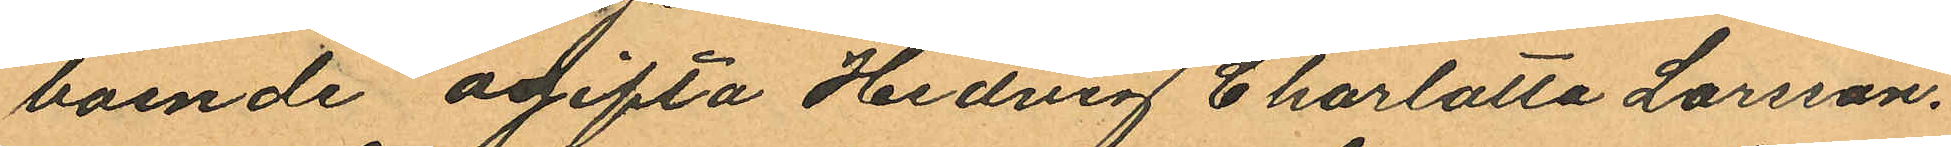boende ogifta Hedvig Charlotta Larsson.
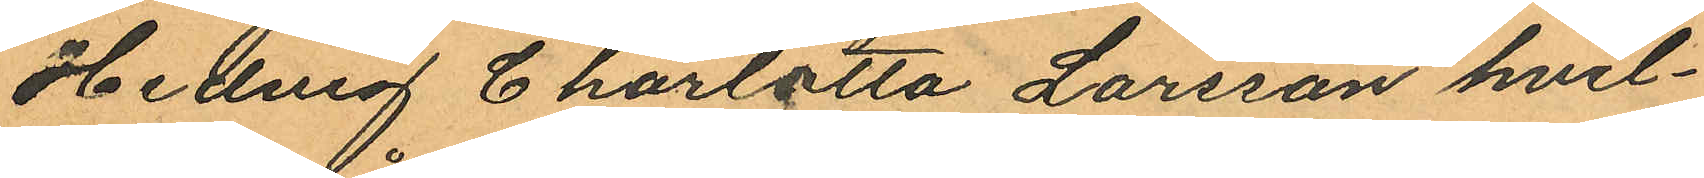Hedvig Charlotta Larsson hvil¬
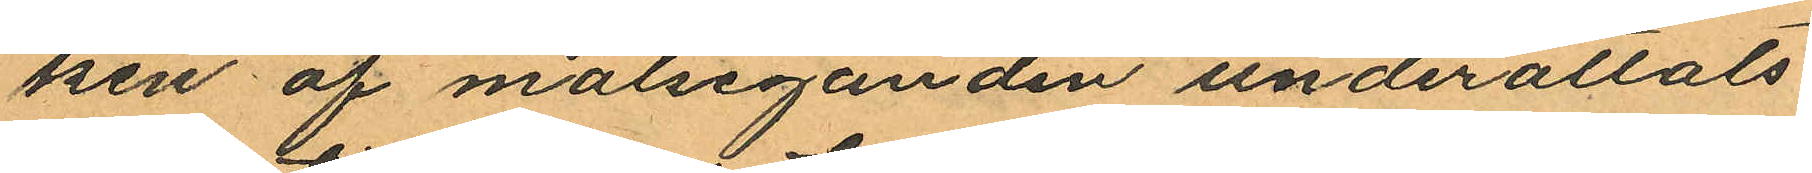ken af målseganden underättats
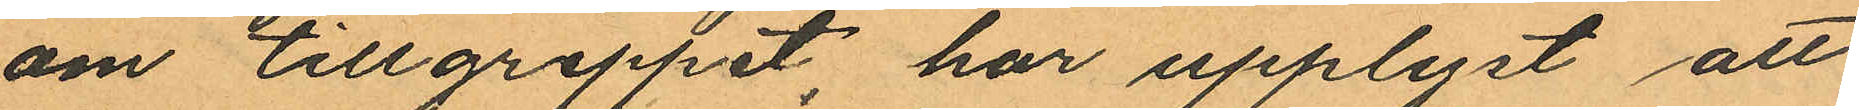om tillgreppet, har upplyst att
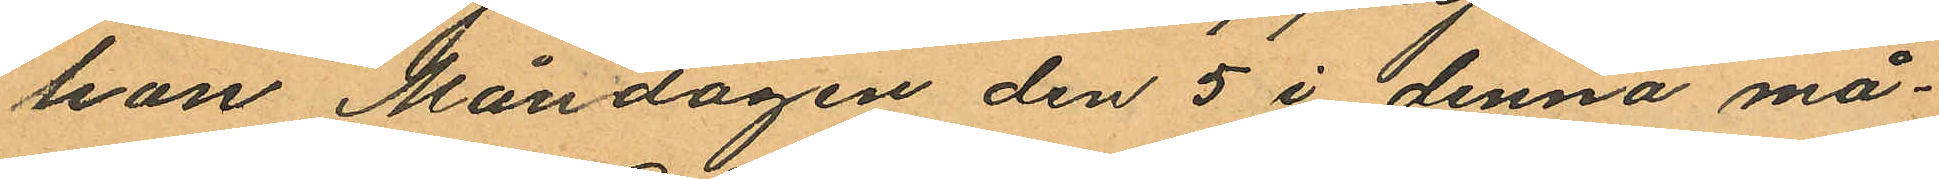hon Måndagen den 5 i denna må¬
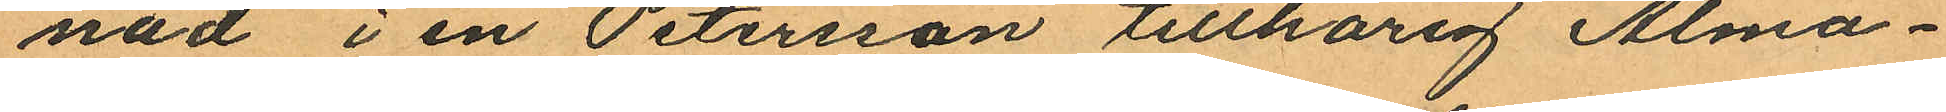nad i en Petersson tillhörig Alma¬
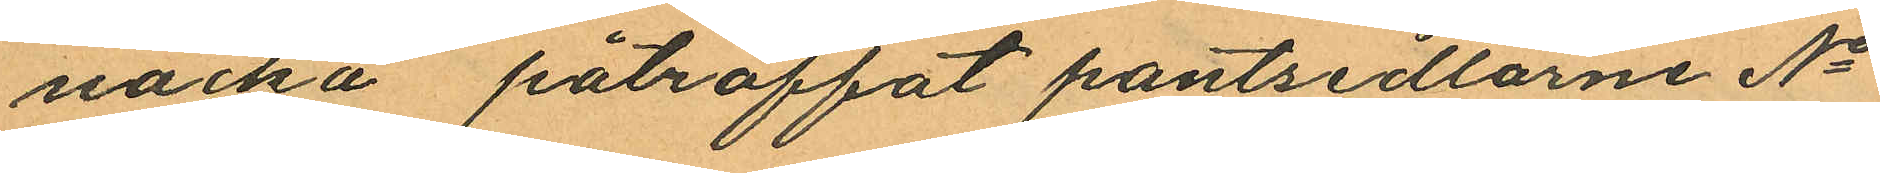nacka påträffat pantsedlarne No
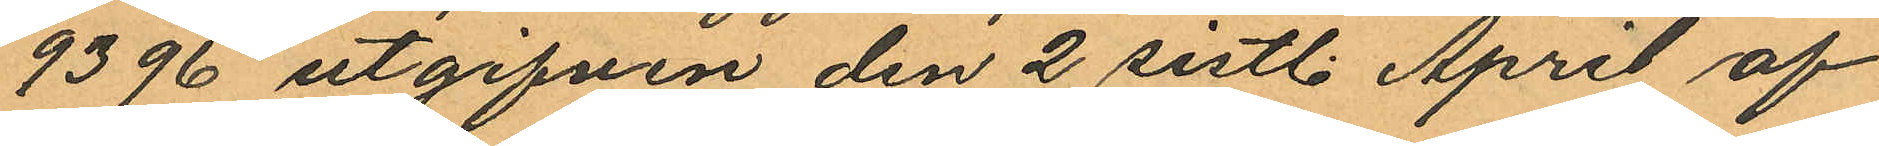9396 utgifven den 2 sistl. April af
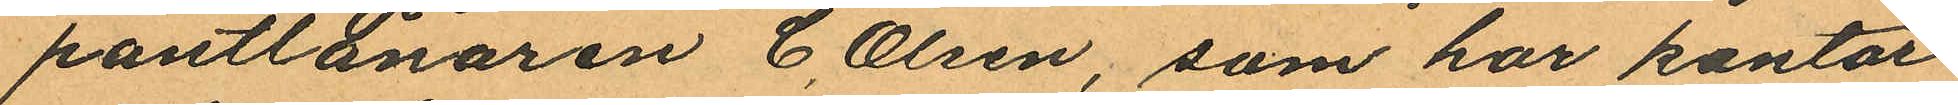pantlånaren C. Olsen, som har kontor
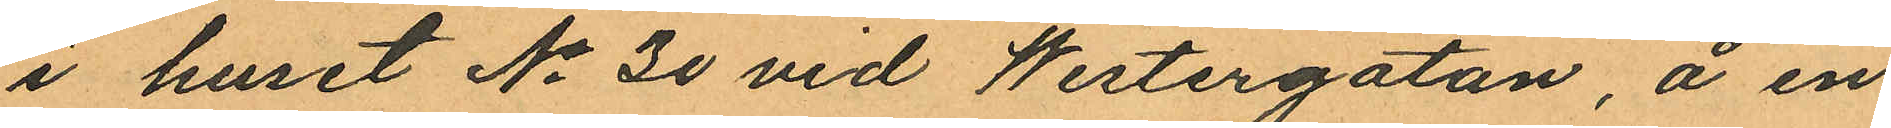i huset No 30 vid Westergatan, å en
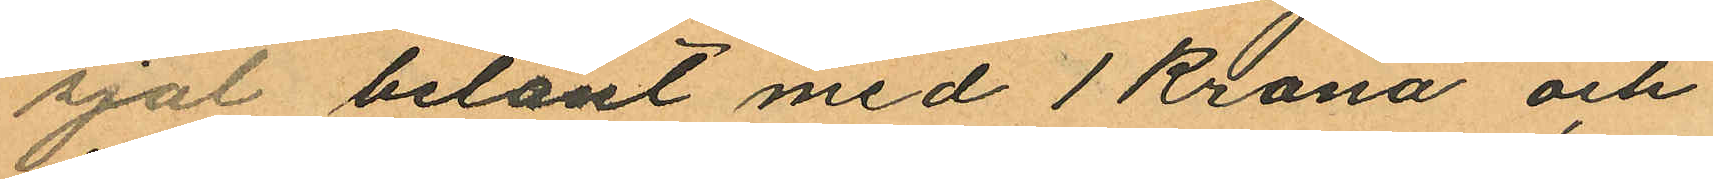sjal belånt med 1 Krona och
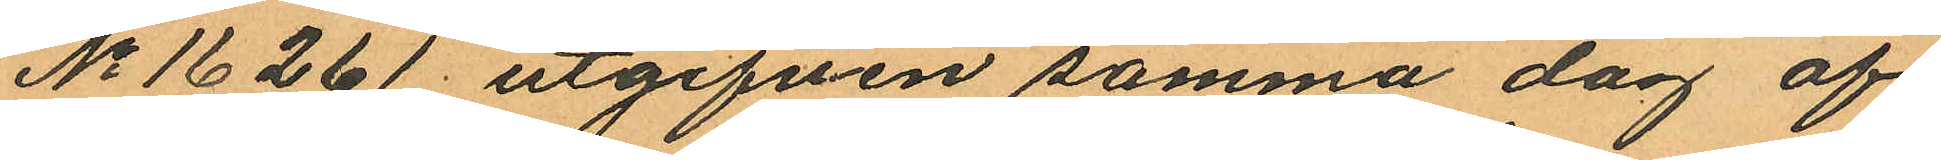No 16261 utgifven samma dag af
